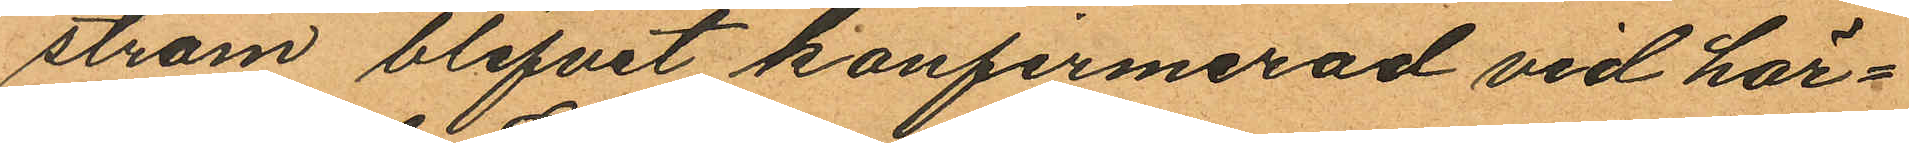ström blifvit konfirmerad vid här¬
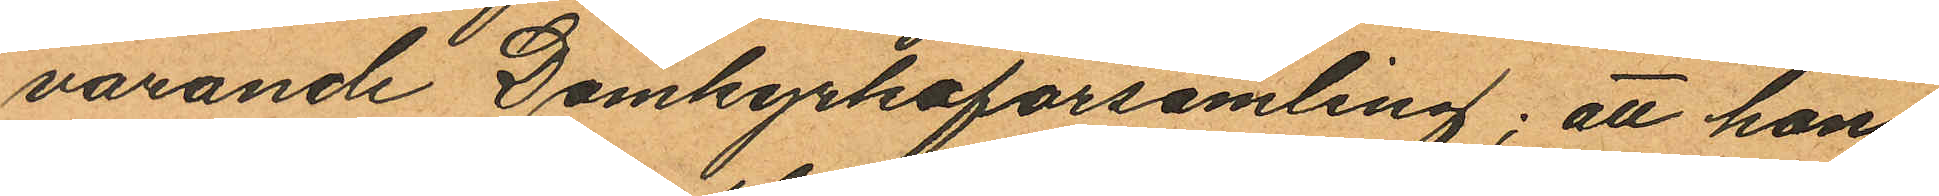varande Domkyrkoförsamling; att han
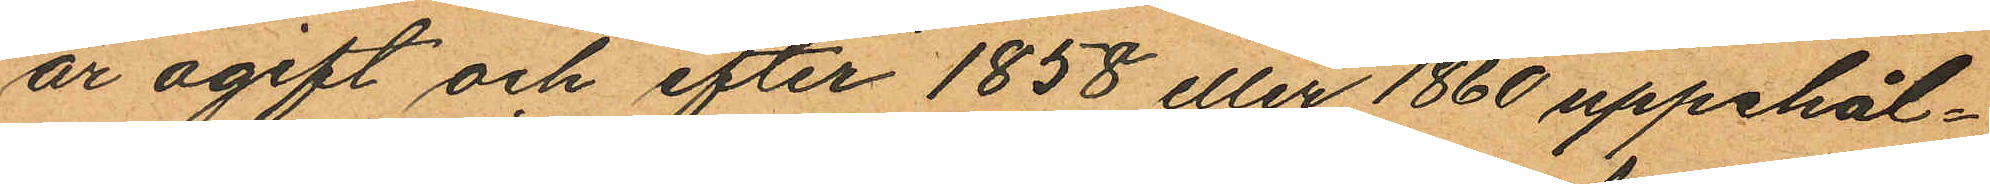är ogift och efter 1858 eller 1860 uppehål¬
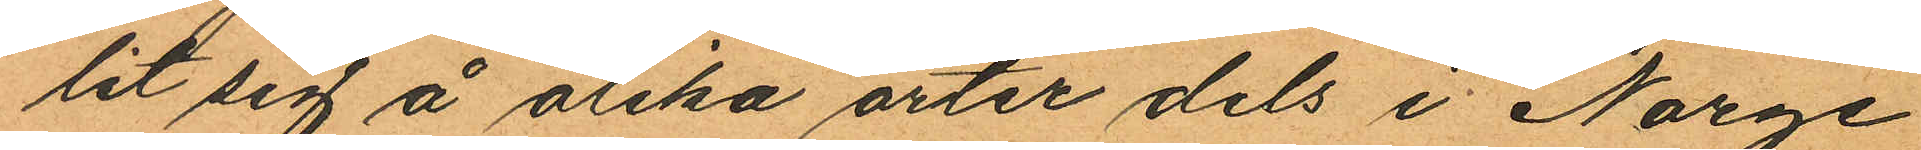lit sig å olika orter dels i Norge
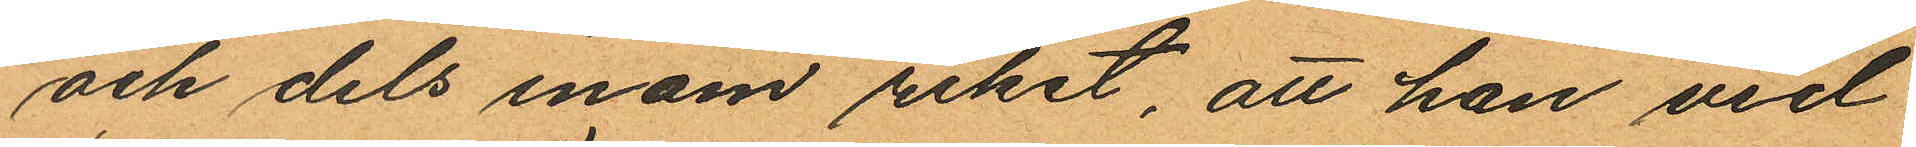och dels inom riket, att han vid
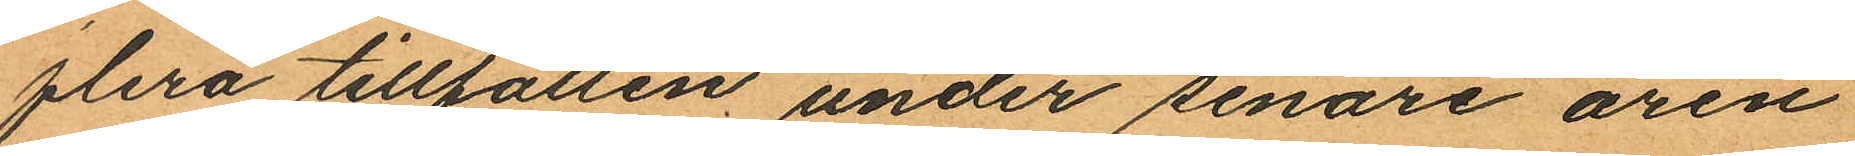flera tillfällen under senare åren
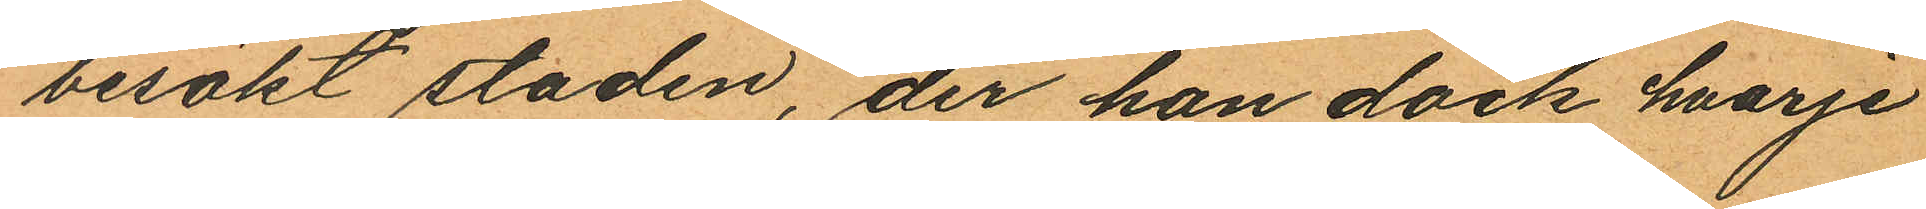besökt staden, der han dock hvarje
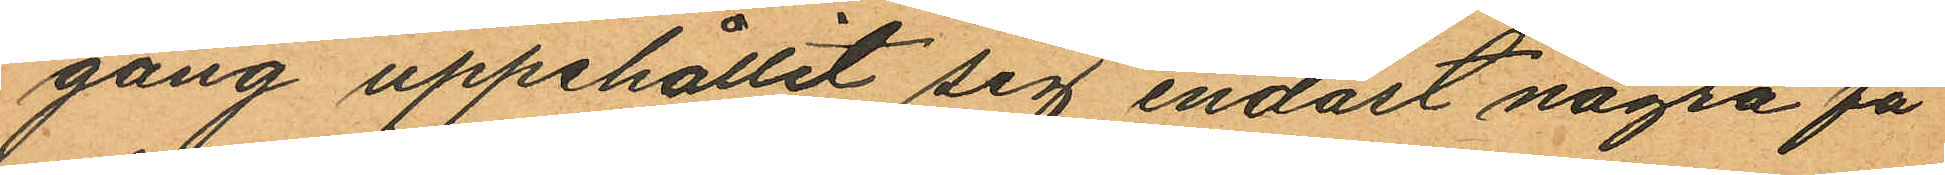gång uppehållit sig endast några få
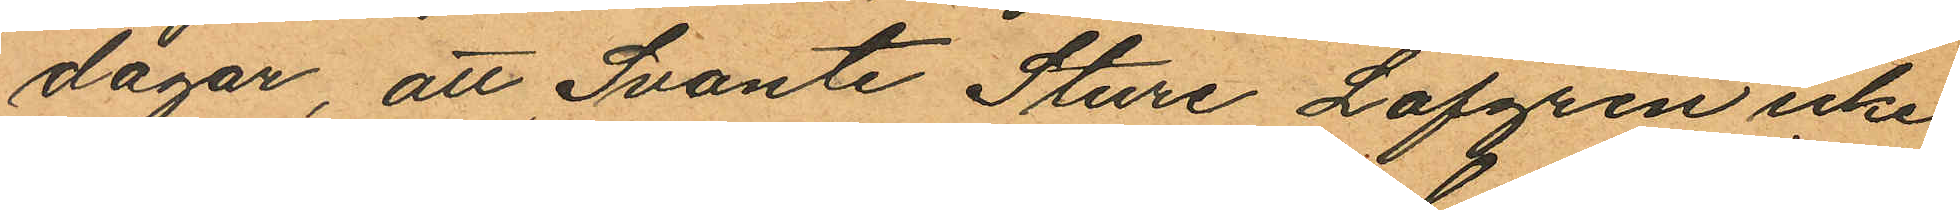dagar, att Svante Sture Lofgren icke
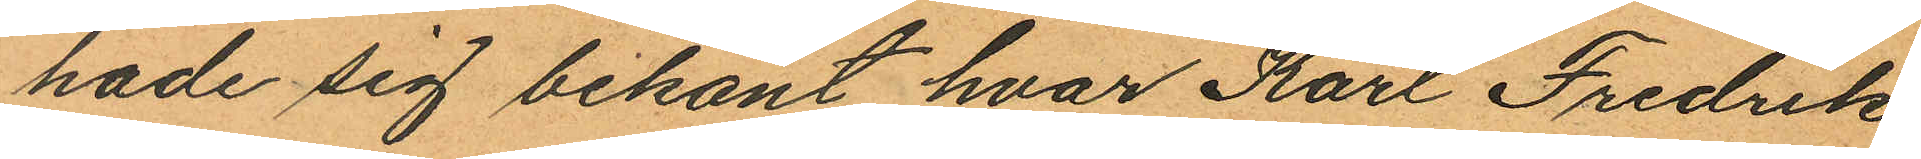hade sig bekant hvar Karl Fredrik
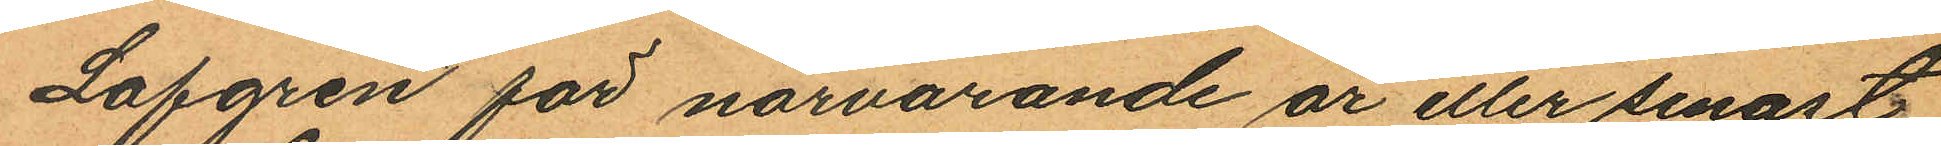Lofgren för närvarande är eller senast
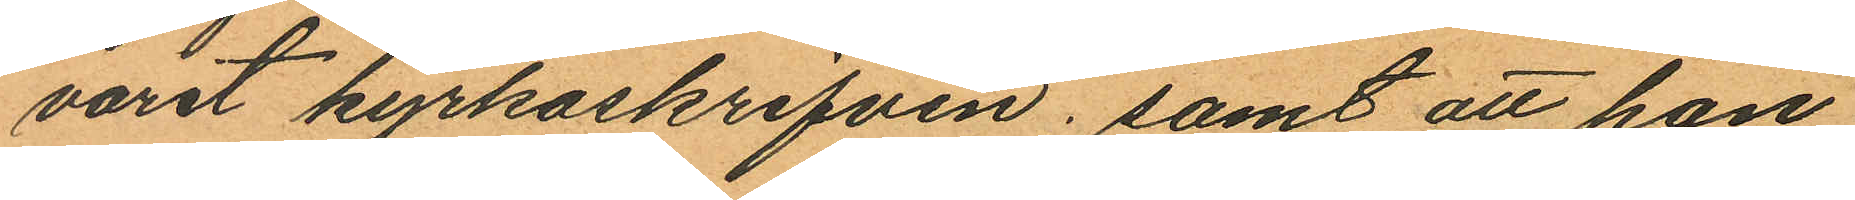varit kyrkoskrifven; samt att han
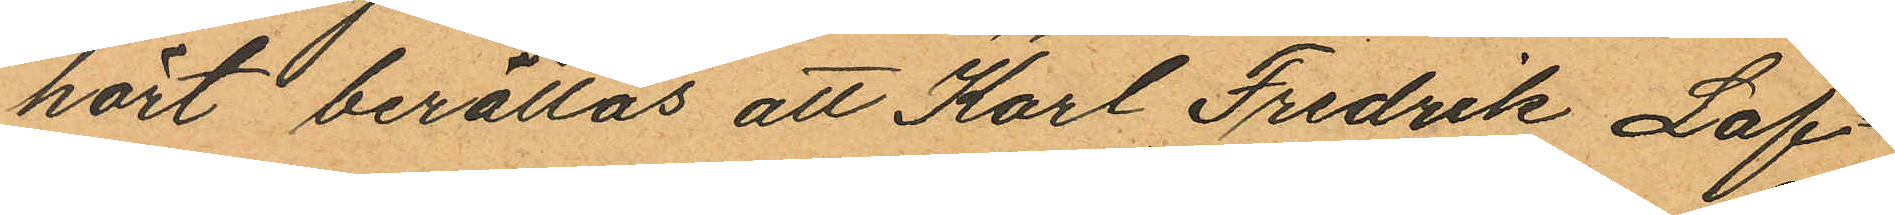hört berättas att Karl Fredrik Lof¬
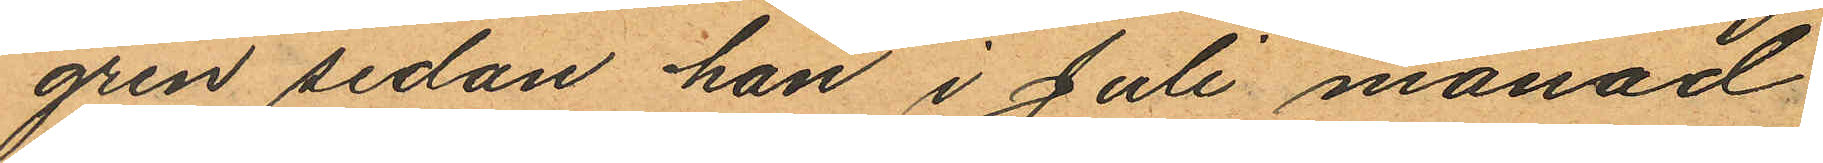gren sedan han i Juli månad
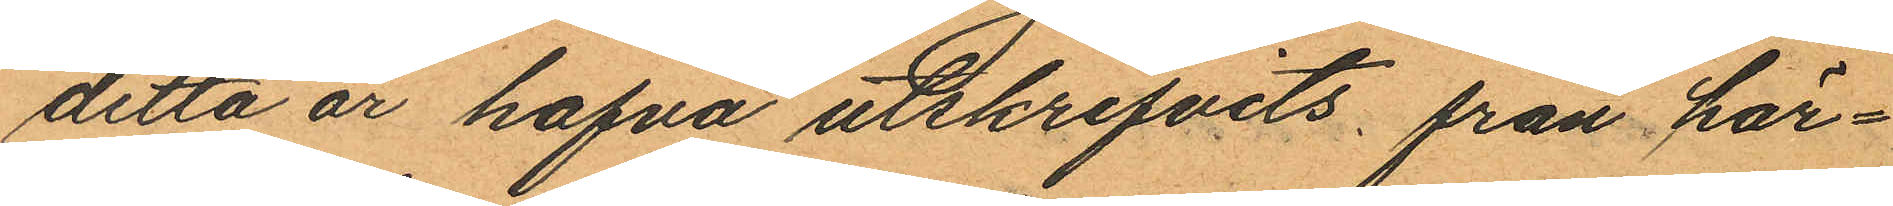detta år hafva utskrifvits, från här¬
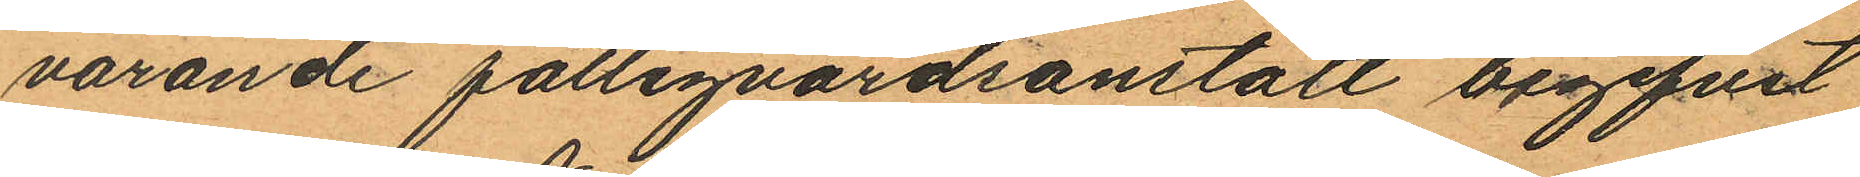varande fattigvårdsanstalt begifvit
